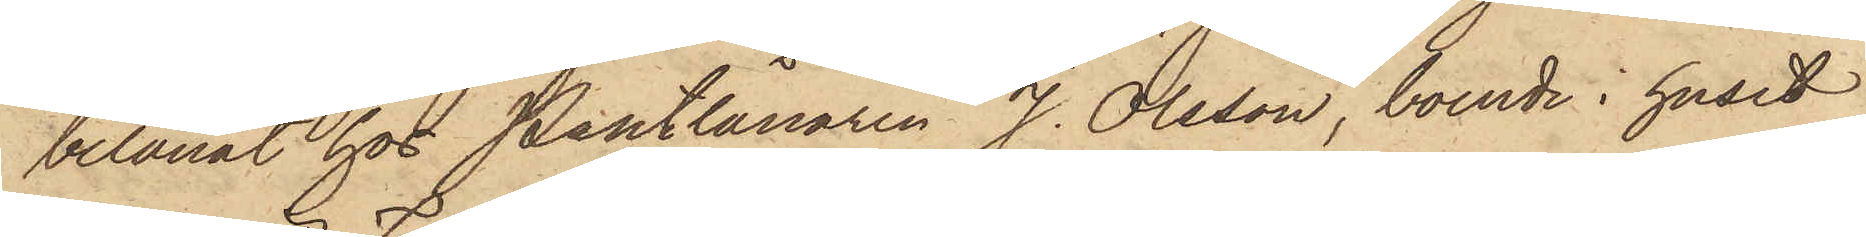belånat hos Pantlånaren J. Olsson, boende i huset
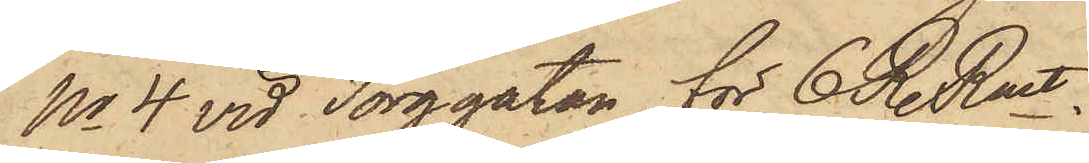No 4 vid Torggatan för 6 R. Rmt.
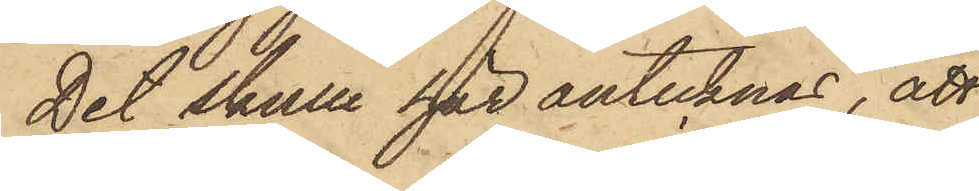Det skulle här antecknas, att
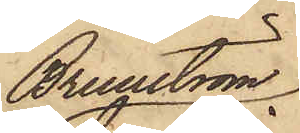Brunström
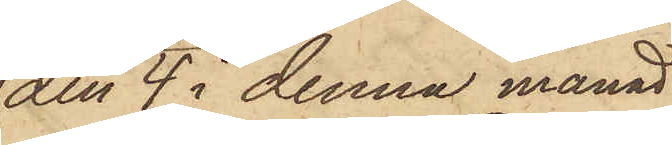den 4 i denna månad
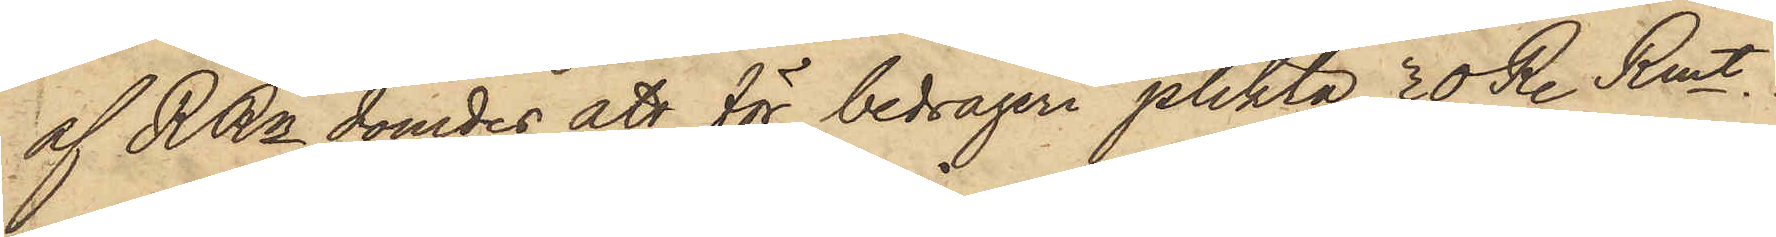af RRn dömdes att för bedrägeri plikta 30 R. Rmt,
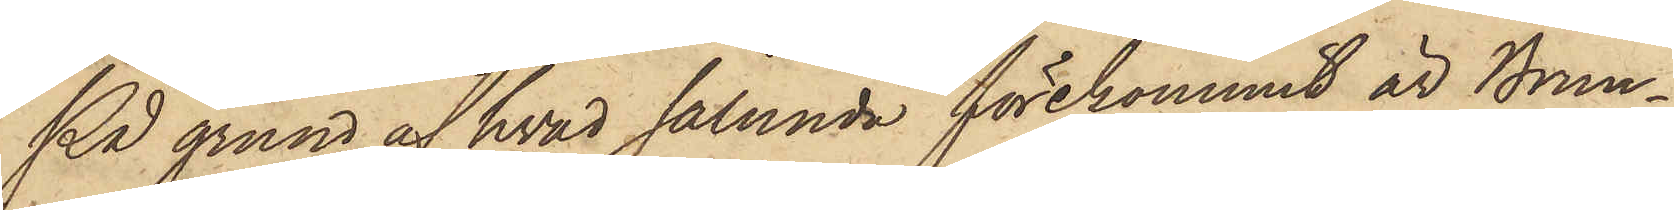På grund af hvad sålunda förekommit är Brun¬
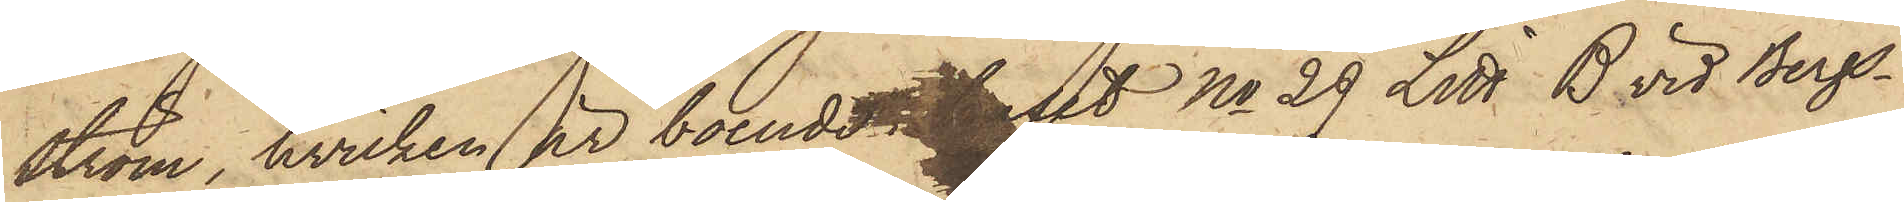ström, hvilken är boende i huset No 29 Litt B. vid Bergs¬
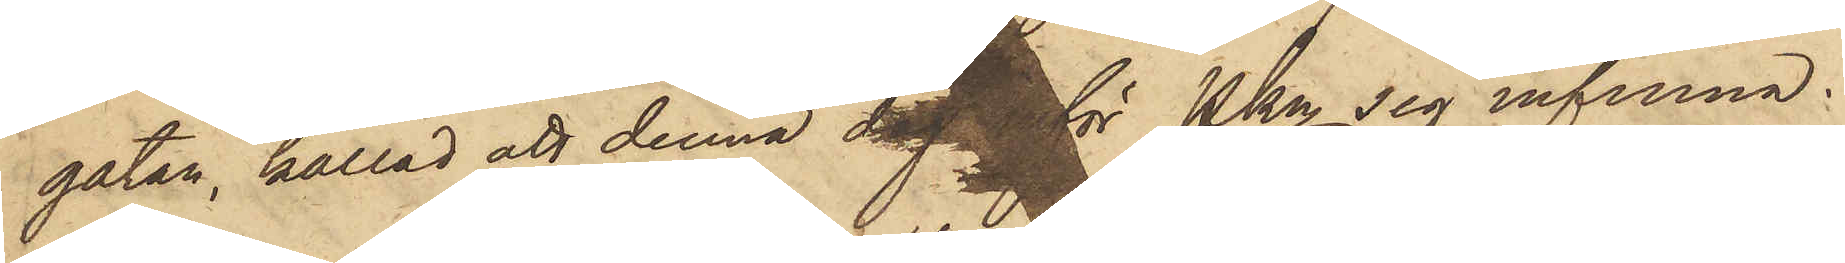gatan, kallad att denna dag inför Pkn sig infinna.
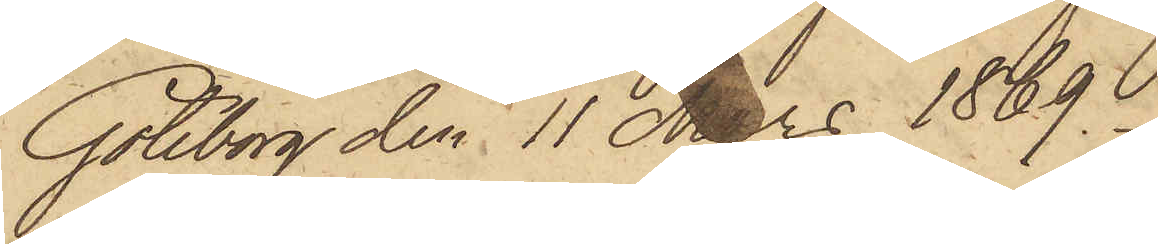Göteborg den 11 Mars 1869.
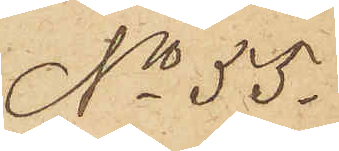No 55.
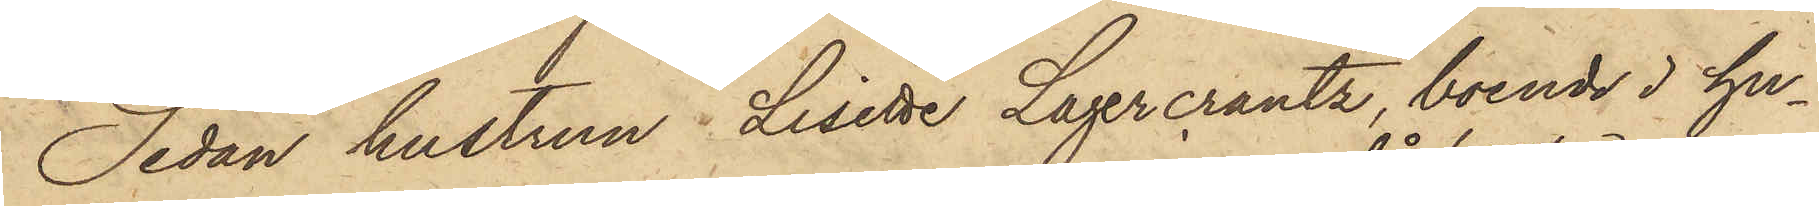Sedan hustrun Lisette Lagercrantz, boende i hu¬
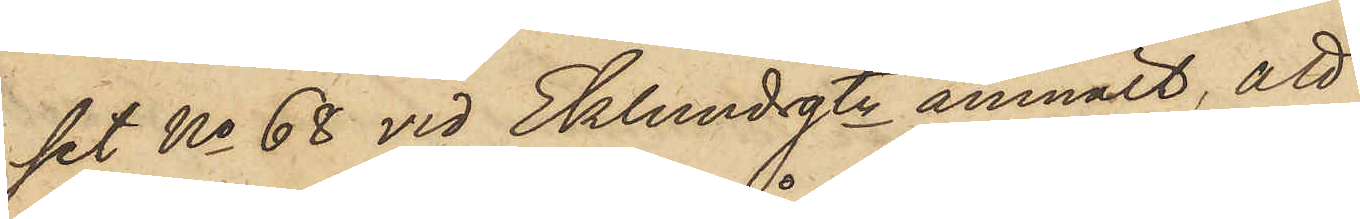set No 68 vid Eklundsgtn anmält, att
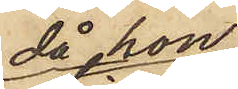då hon
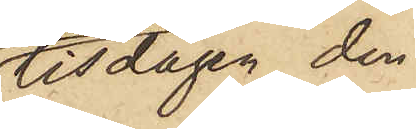tisdagen den
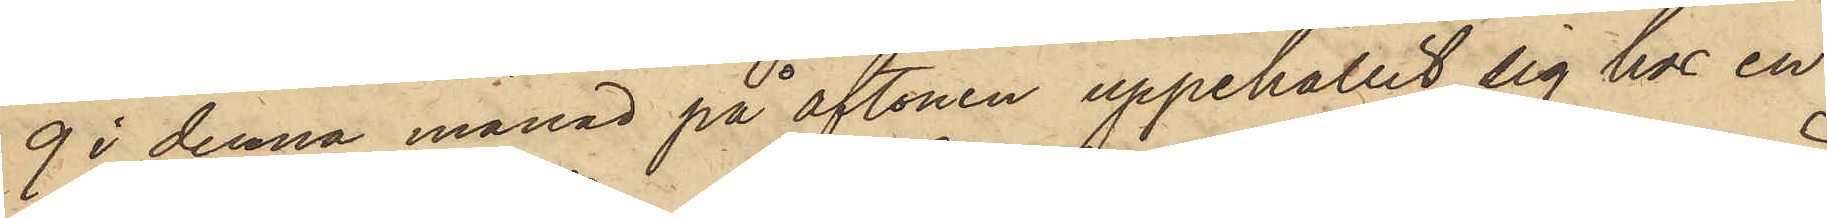9 i denna månad på aftonen uppehållit sig hos en
